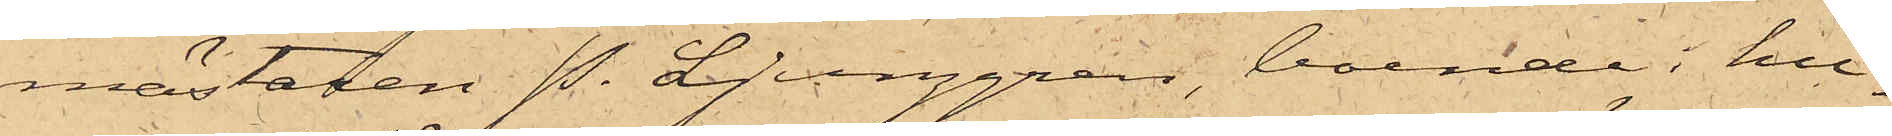mästaren P. Ljunggren, boende i hu¬
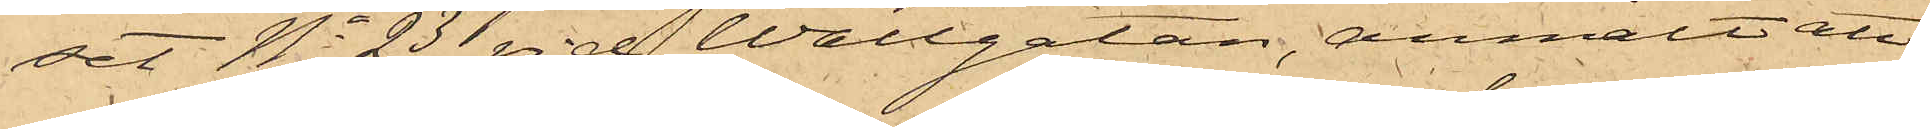set No 23 vid Wallgatan, anmält att
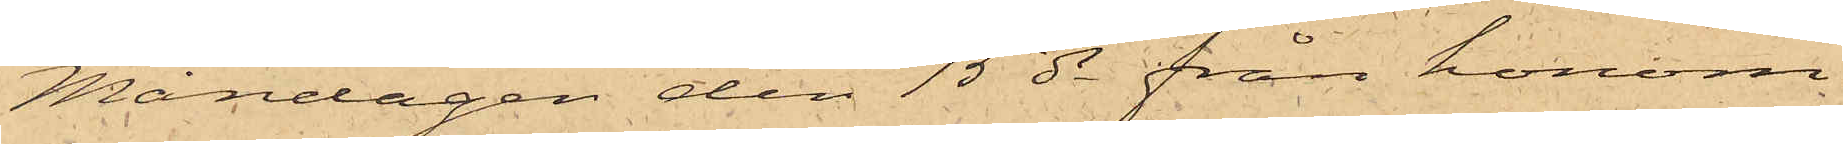Måndagen den 15 ds från honom
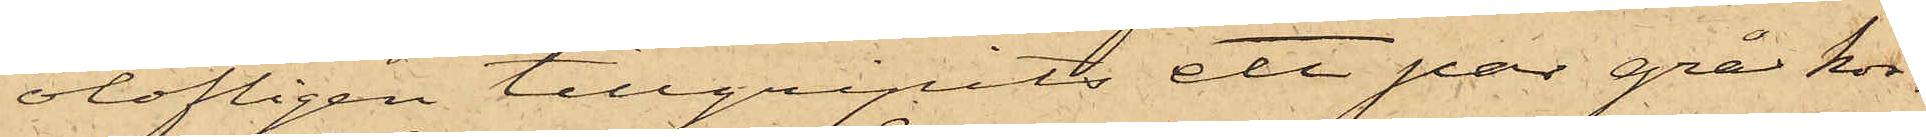olofligen tillgripits ett par grå kor¬
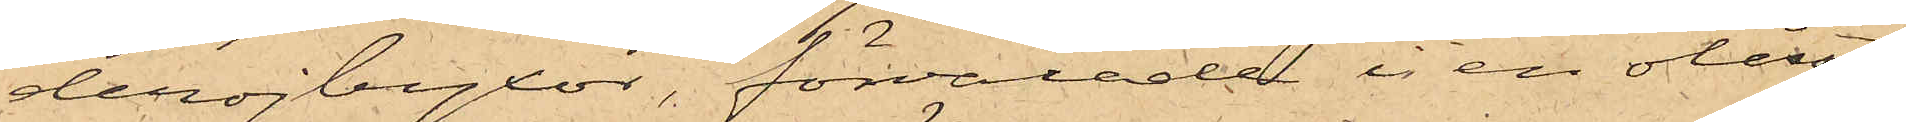derojbyxor, förvarade i en olåst
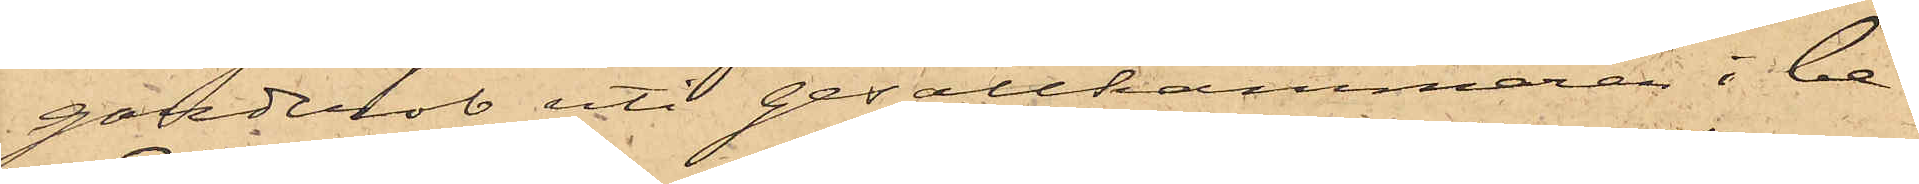garderob uti gesällkammaren i be¬
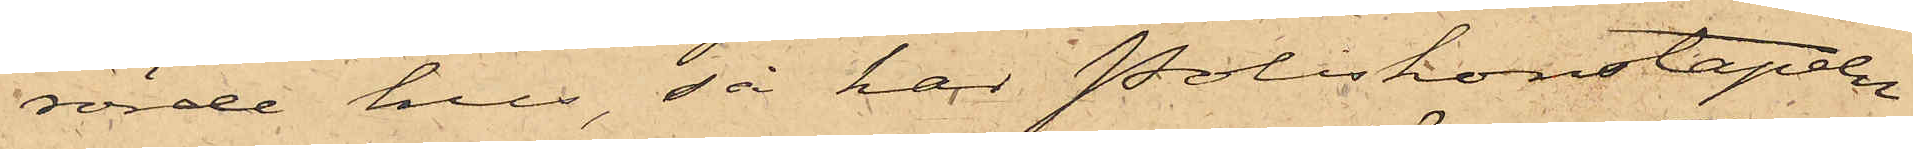rörde hus, så har Poliskonstapeln
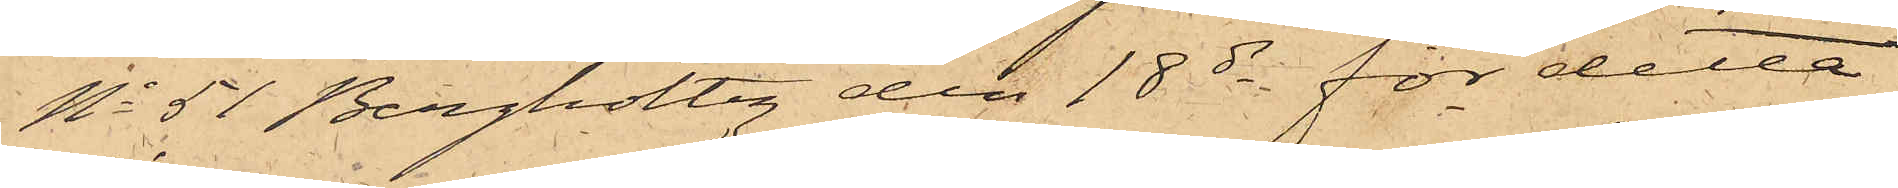No 51 Bergholtz den 18 ds för detta
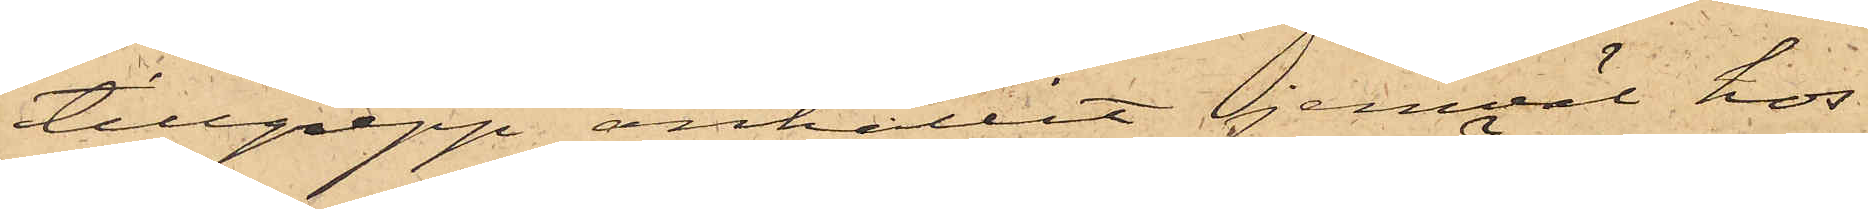tillgrepp anhållit jemväl hos
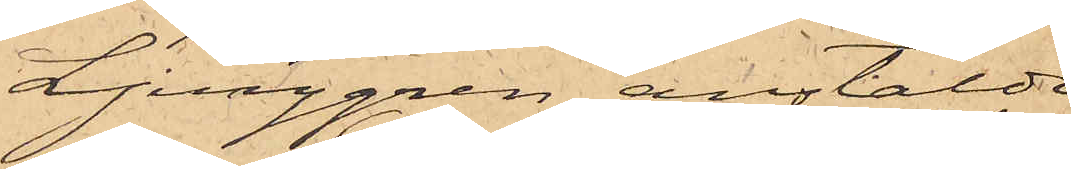Ljunggren anstälde
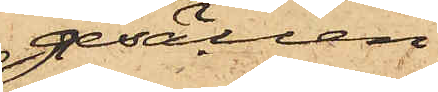gesällen
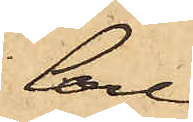Carl
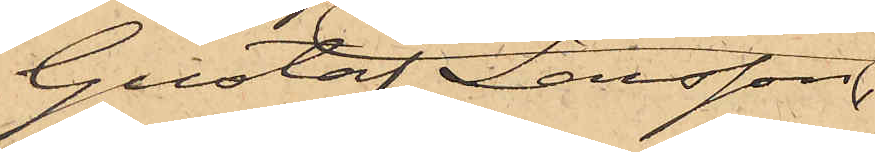Gustaf Larsson,
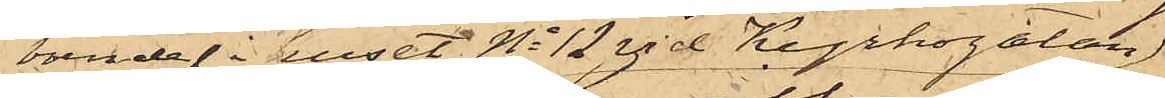boende i huset No 12 vid Kyrkogatan,
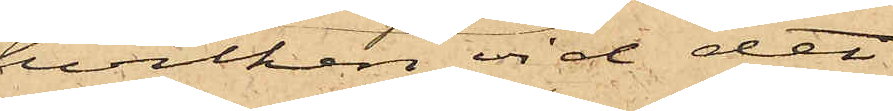hvilken vid det
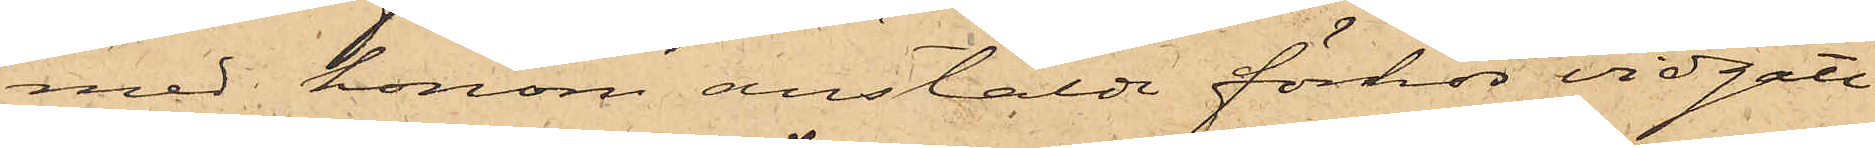med honom anstäldt förhör vidgått
